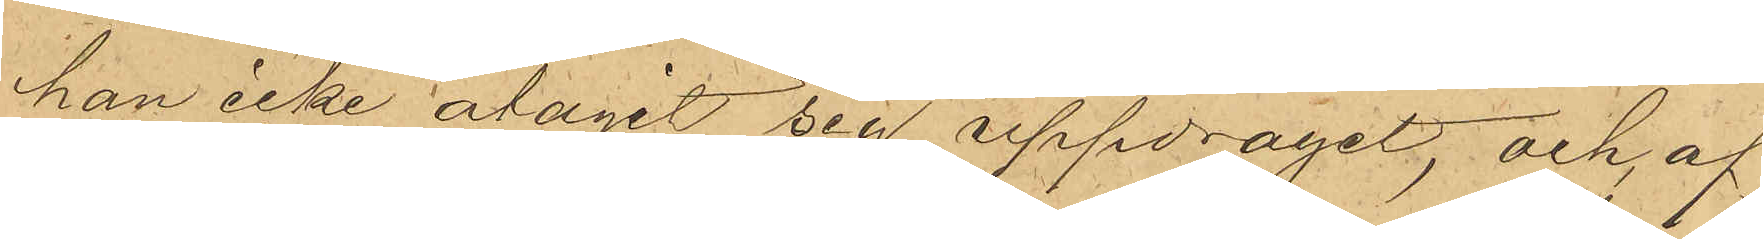han icke åtagit sig uppdraget; och af
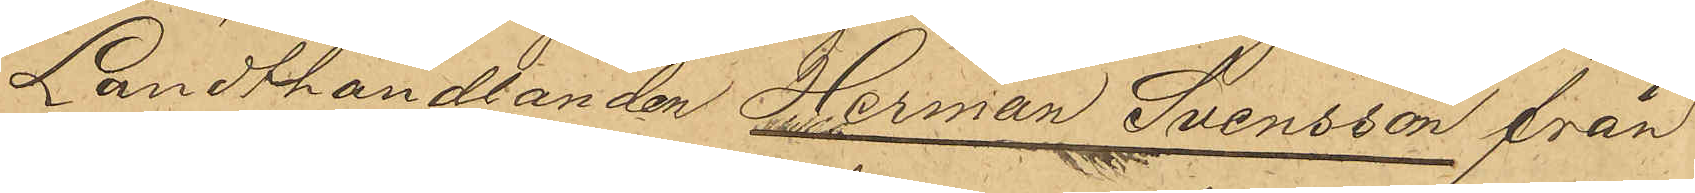Landthandlanden Herman Svensson från
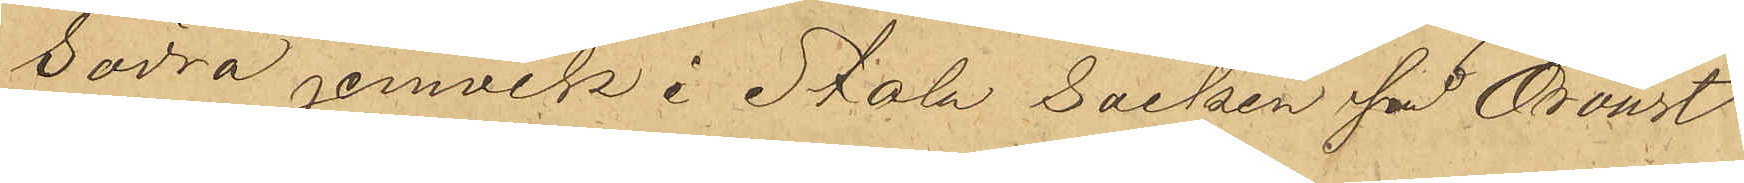Södra jemvik i Stala socken på Oroust
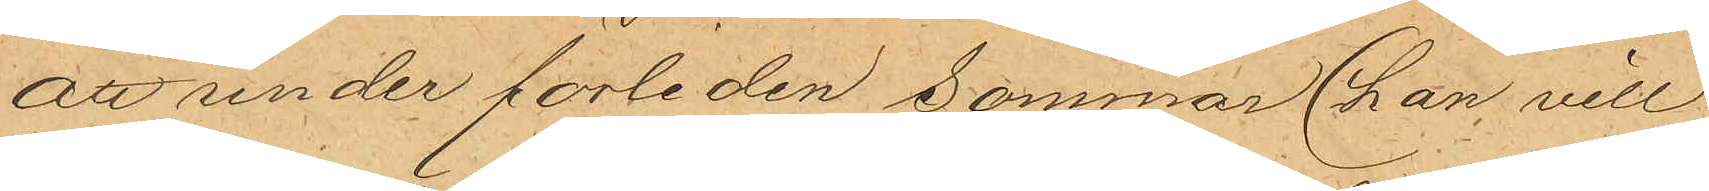att under förliden sommar (han vill
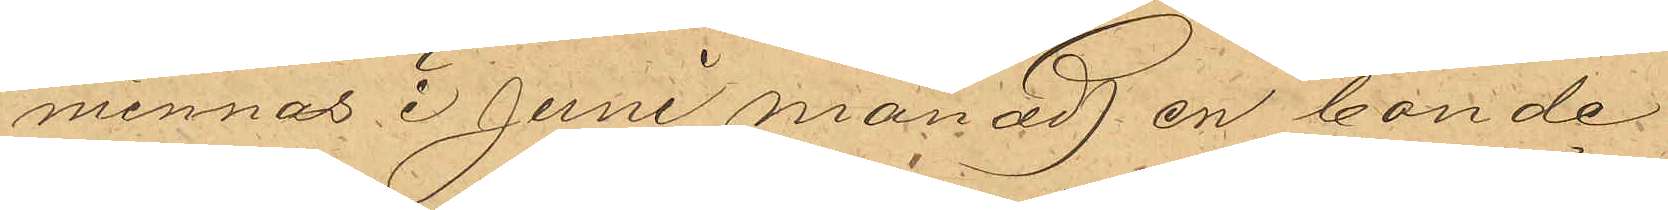minnas i Juni månad) en bonde
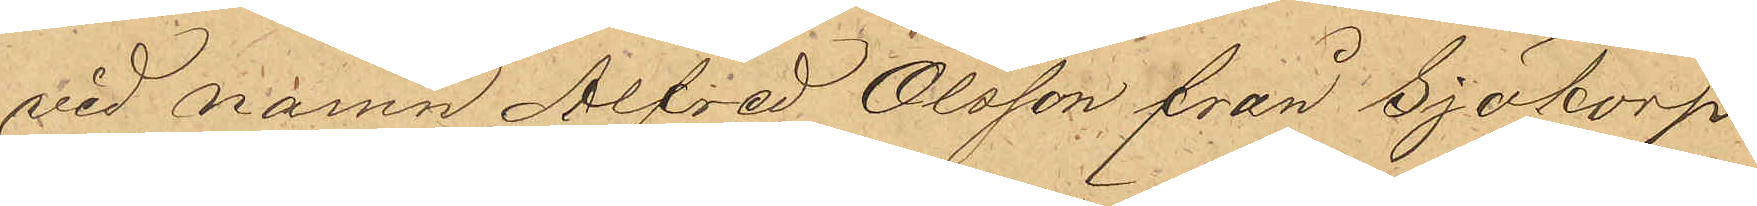vid namn Alfred Olsson från Sjötorp
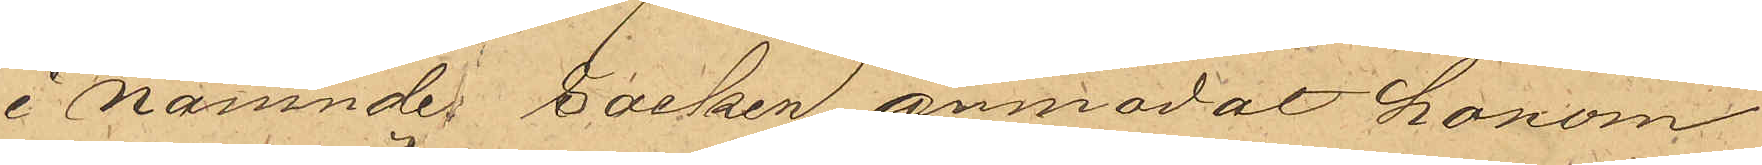i nämnde socken, anmodat honom
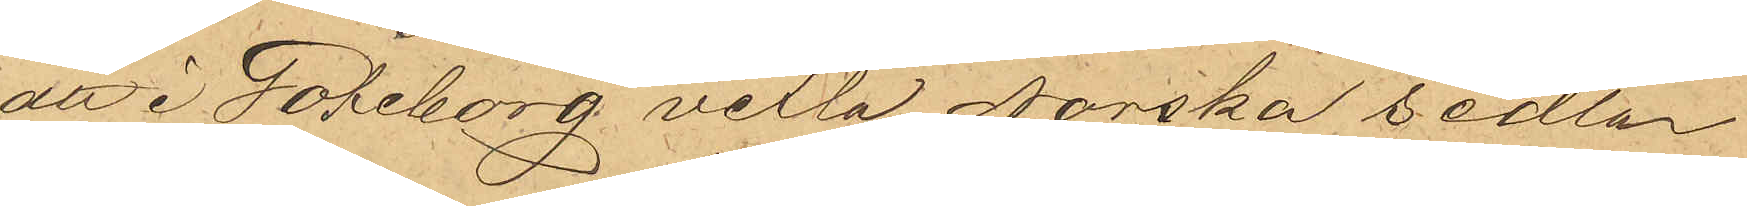att i Göteborg vexla Norska sedlar
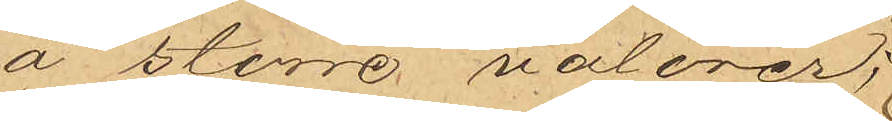å större valörer;
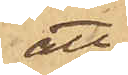att
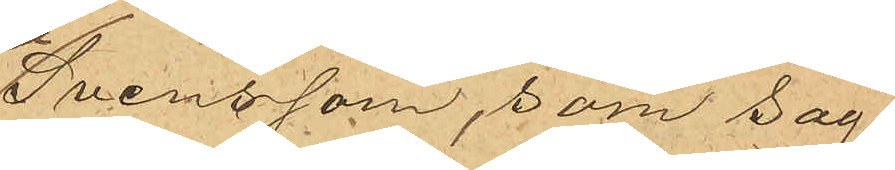Svensson, som såg
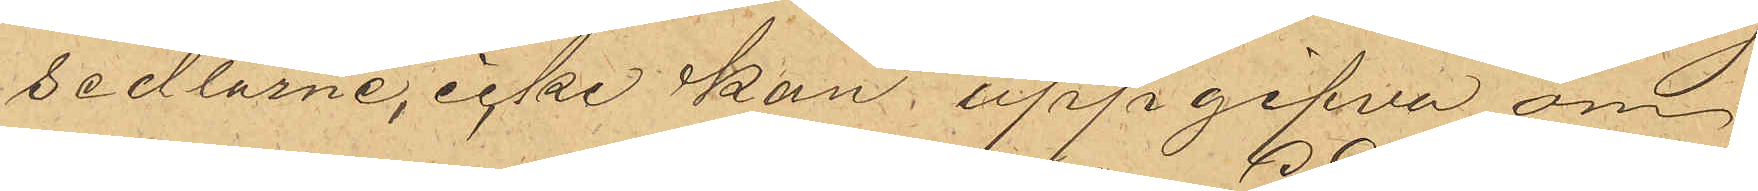sedlarne, icke kan uppgifva om
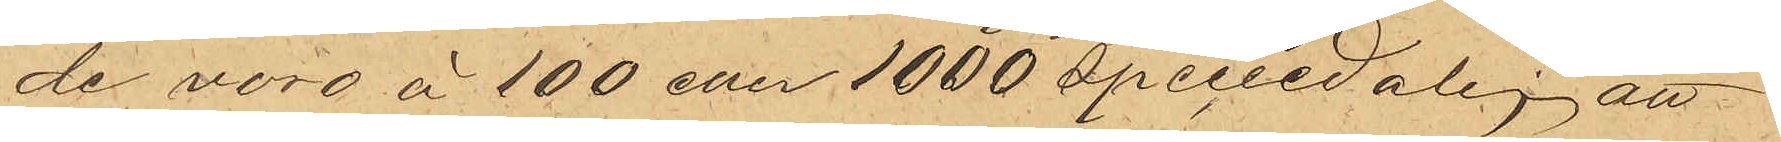de voro å 100 eller 1000 speciedaler, att
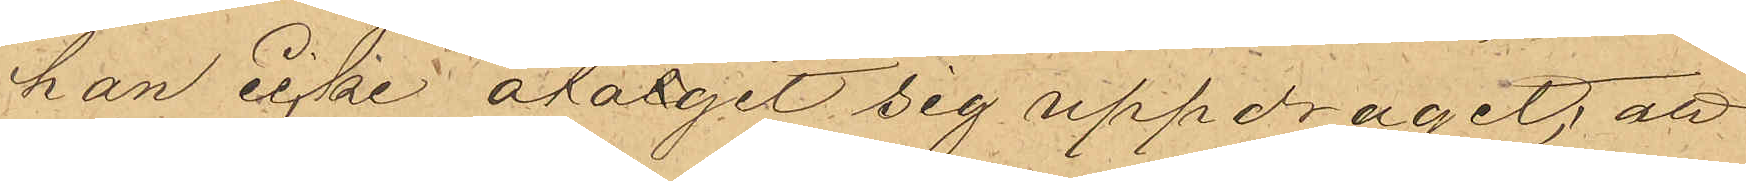han icke åtagit sig uppdraget; att
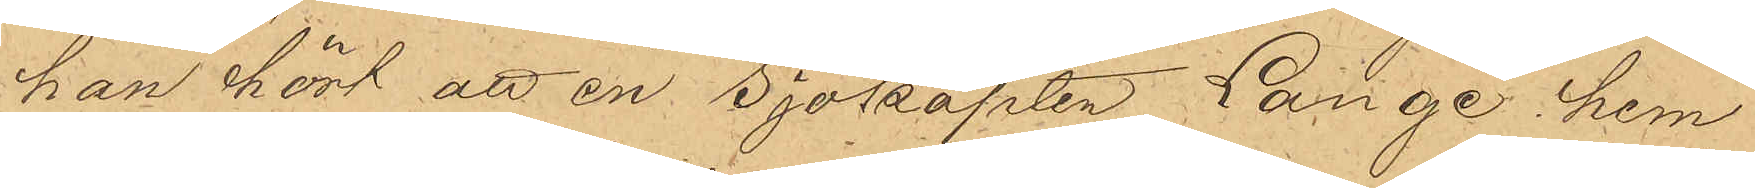han hört att en Sjökapten Lange hem¬
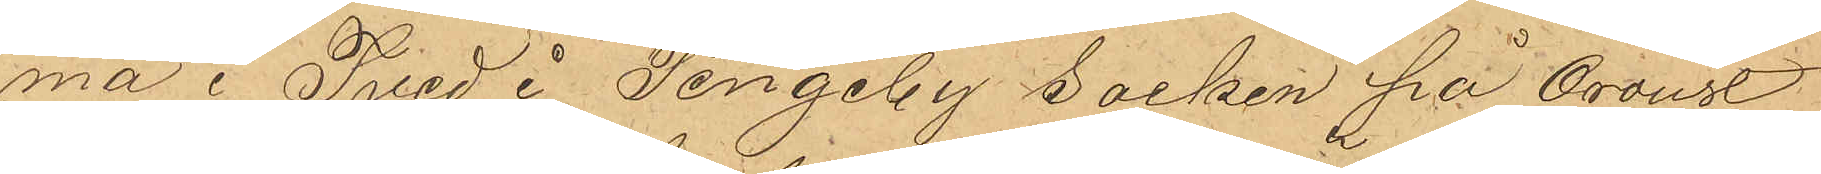ma i Tved i Tengeby socken på Oroust
